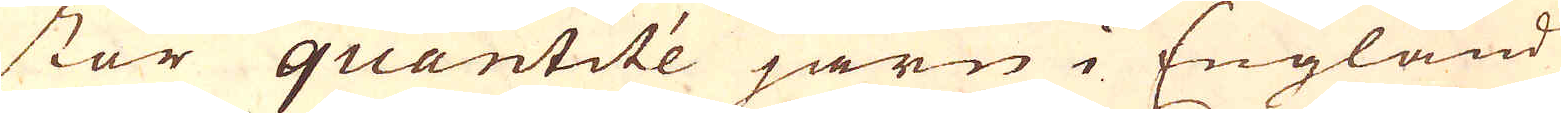stor quantité järn i England
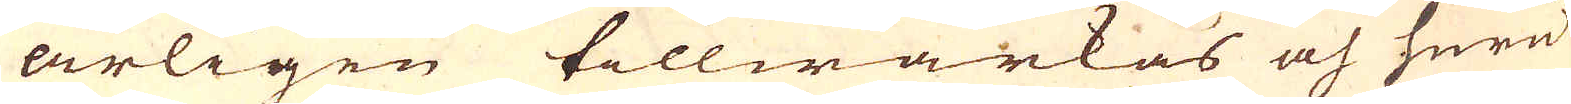årligen tillwärkas och huru
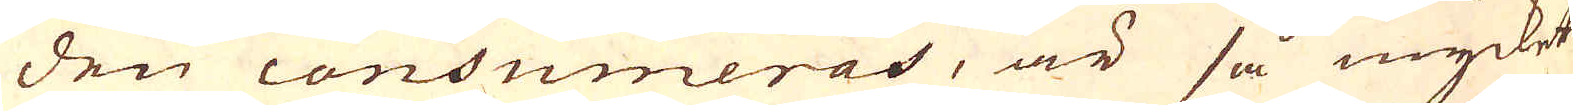den consumeras, är så mycket
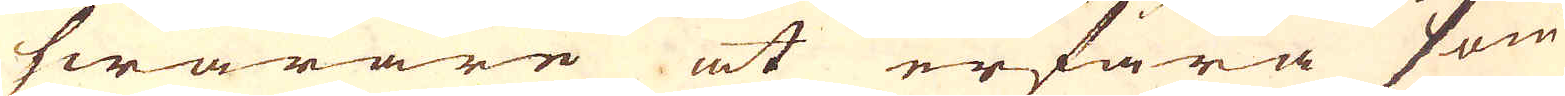swårare at erfara som
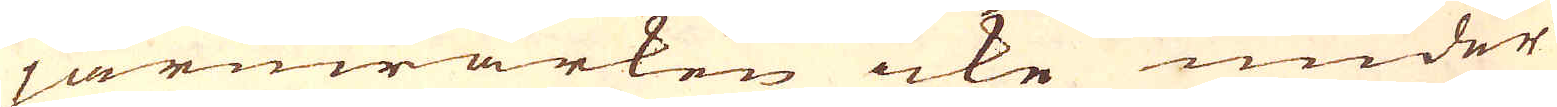järnwärken icke under
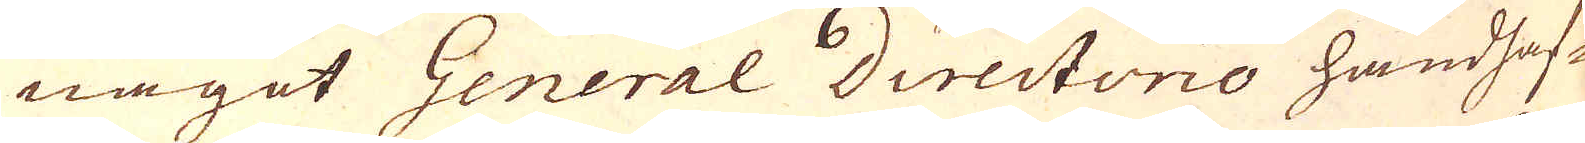något General Directono handhaf-
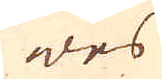wes
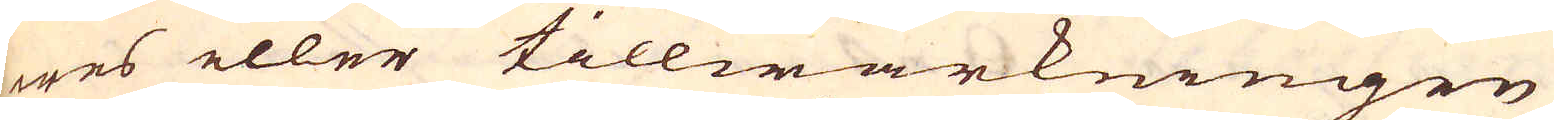wes eller tillwärkningen
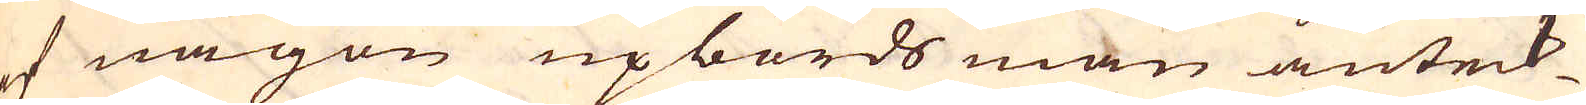af någon upbörds man anteck-
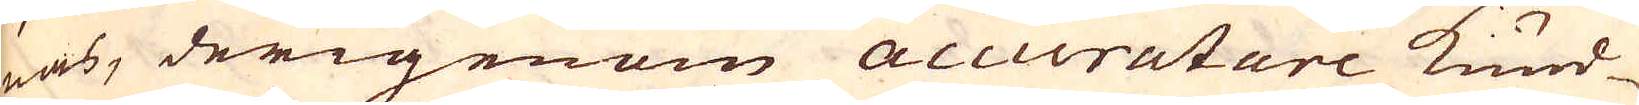nas, derigenom accuratare kund-
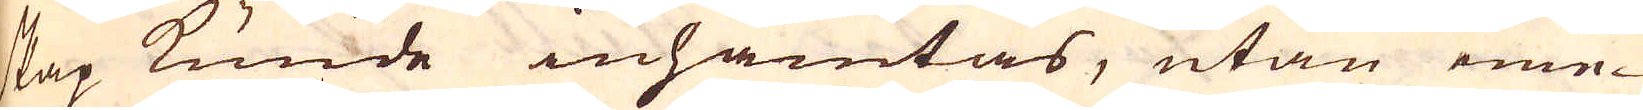skap kunde inhämtas, utan eme-
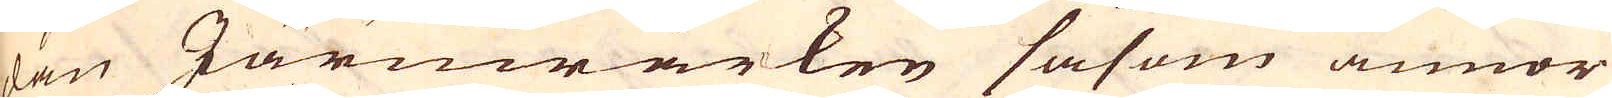dan Järnwärken såsom annor
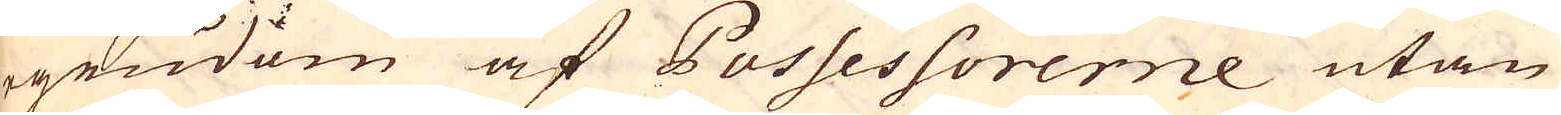egendom af Possessorerne utan
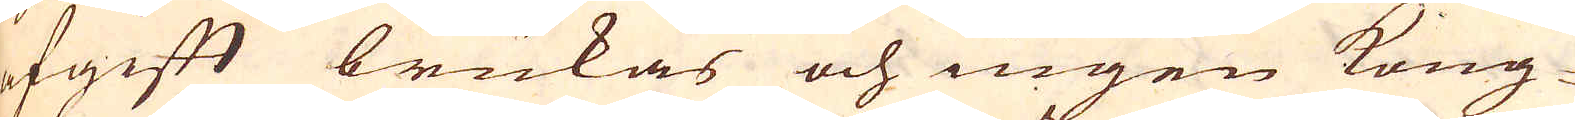afgift brukas och ingen Kong-
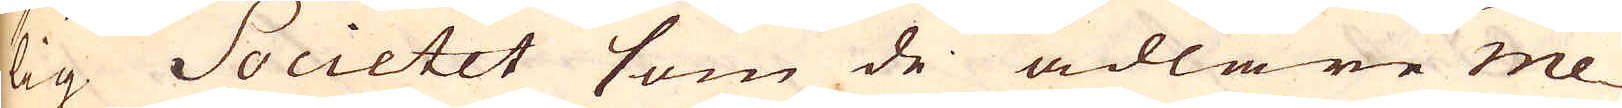lig Societet som de ädlare me-
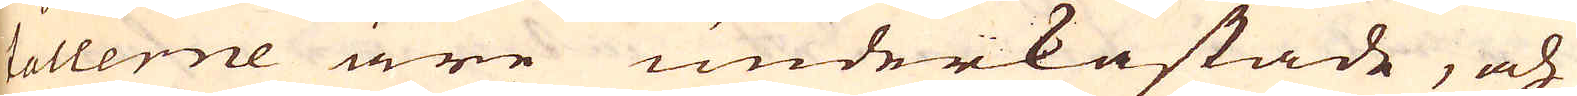tallerne äre underkastade, och
